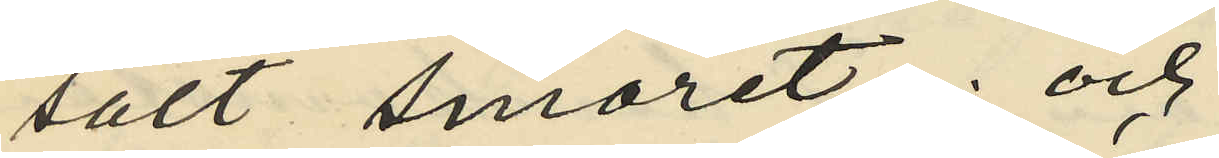sålt smöret; och
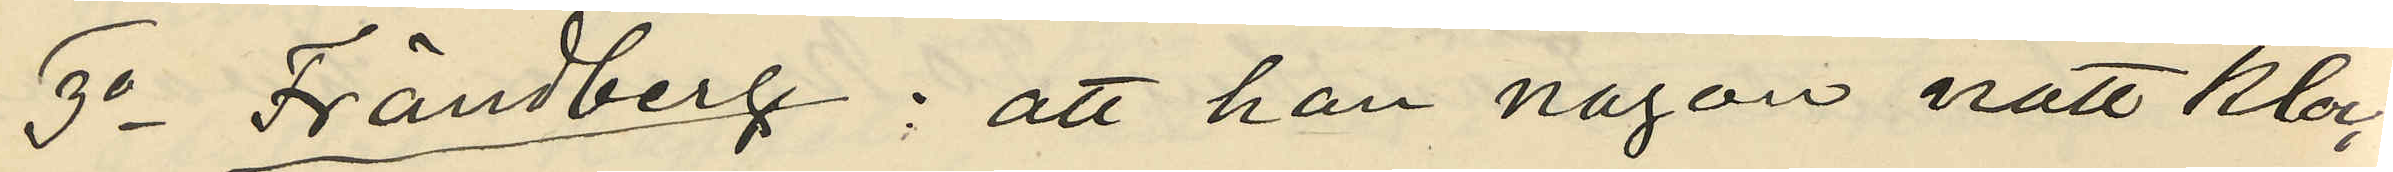3o Frändberg: att han någon natt kloc¬
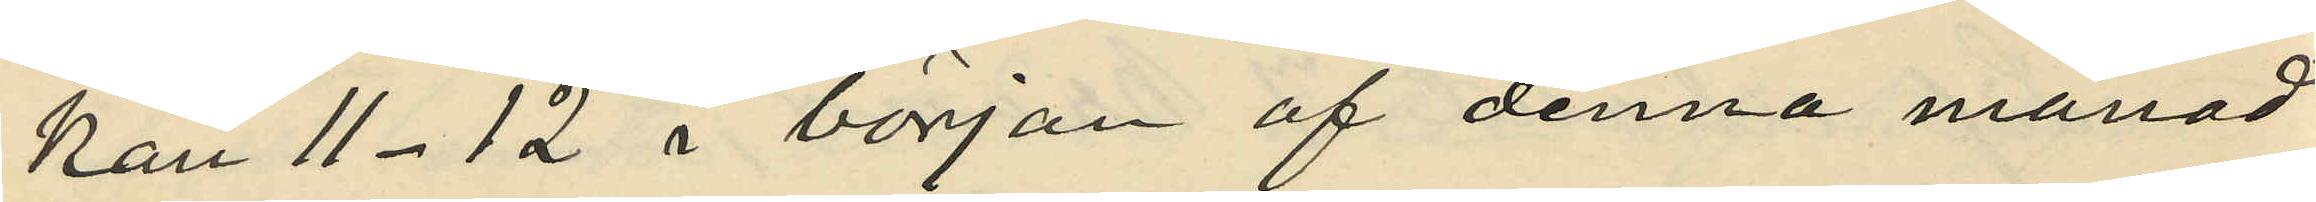kan 11-12 i början af denna månad
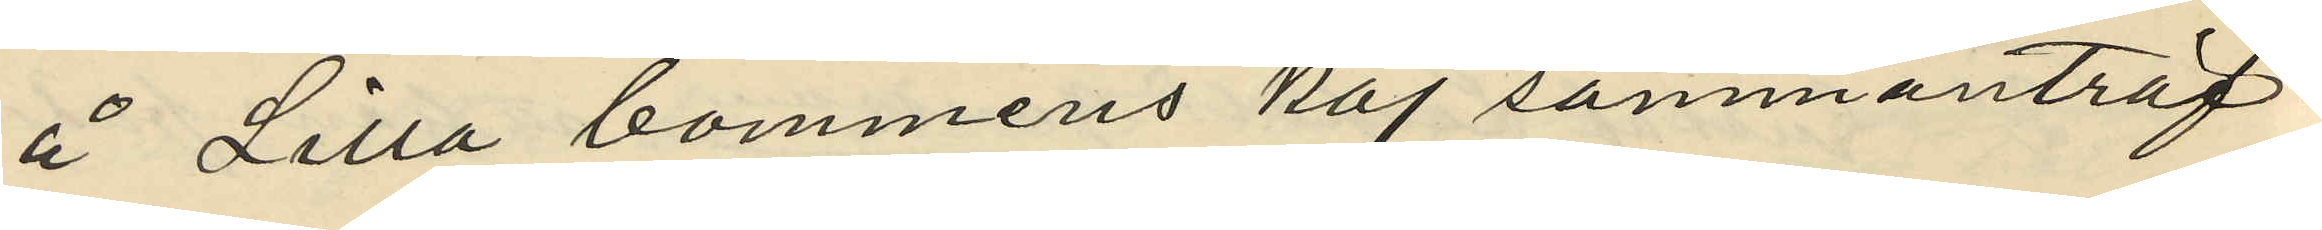å Lilla bommens kaj sammanträf¬
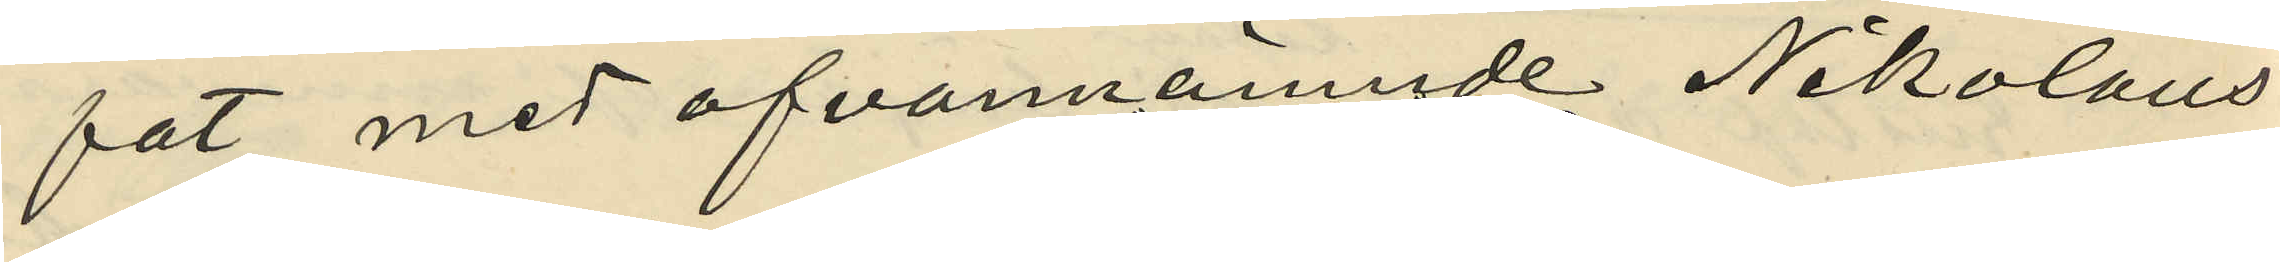fat med ofvannämnde Nikolaus
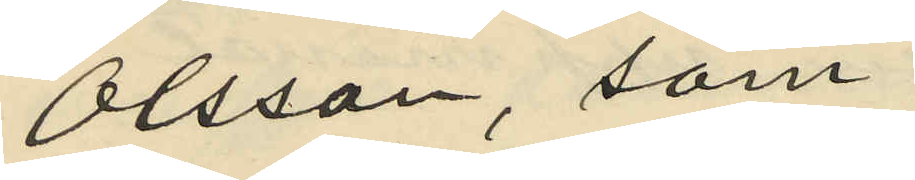Olsson, som
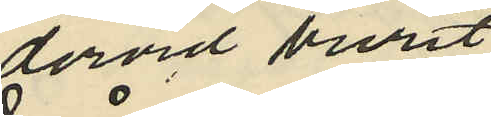dervid burit
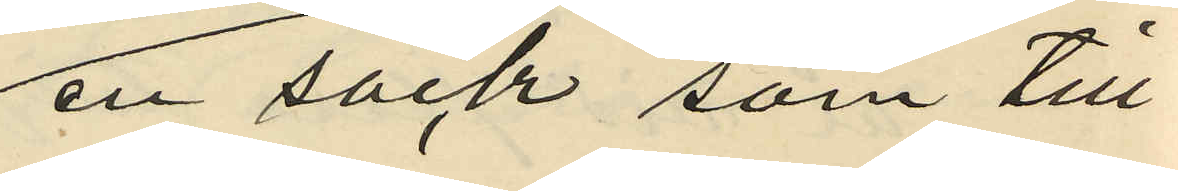en säck som till
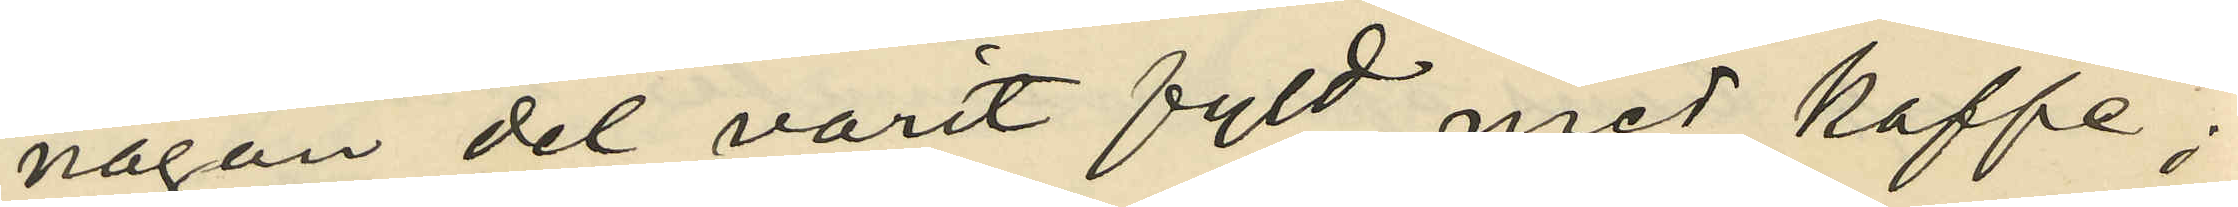någon del varit fyld med kaffe;
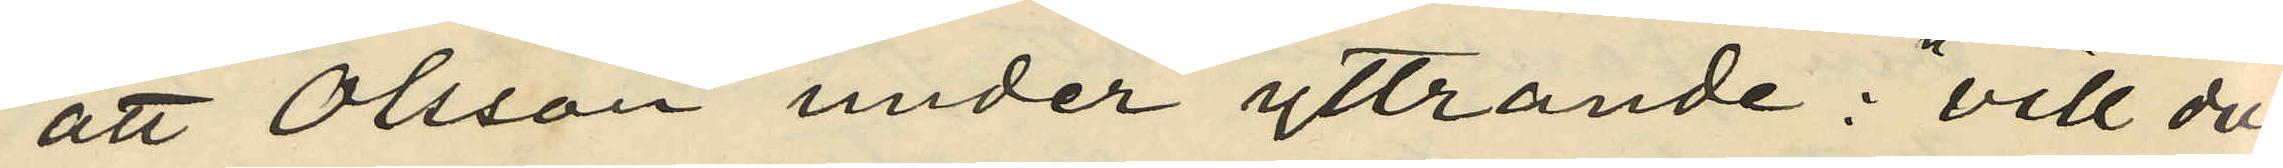att Olsson under yttrande:"vill du
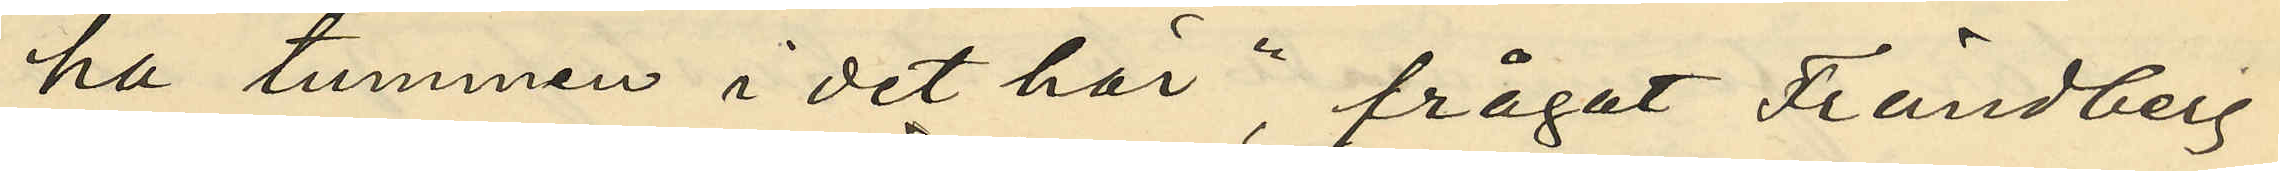ha tummen i det här",  frågat Frändberg
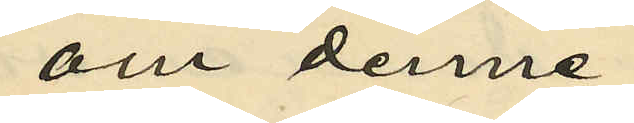om denne
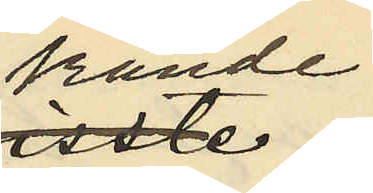kände
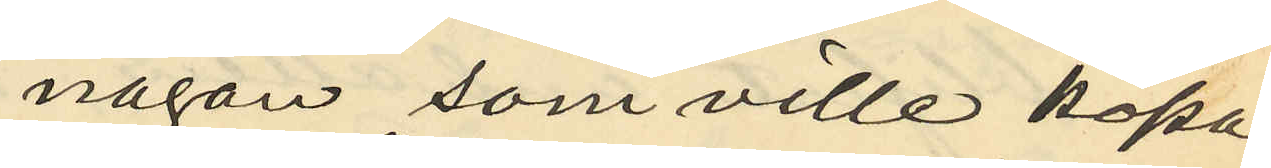någon som ville köpa
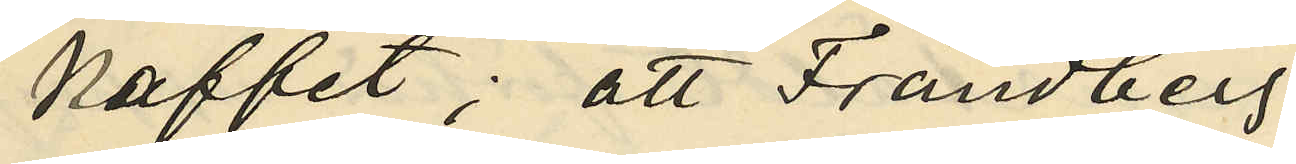kaffet; att Frändberg
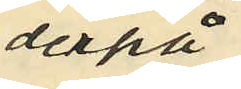derpå
